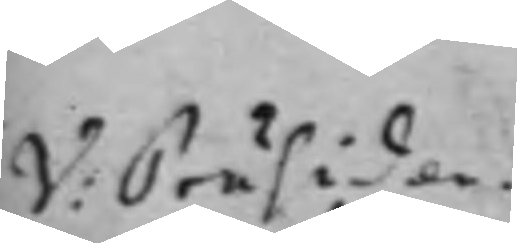V: Präsiden¬
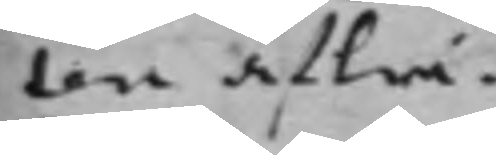ten afträ¬
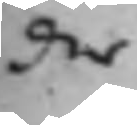der
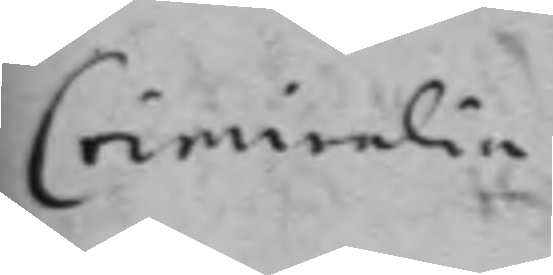Criminalia
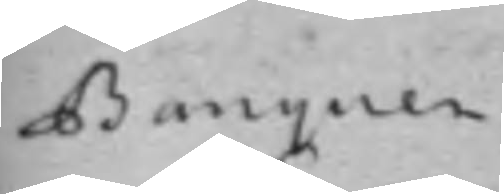Banquen
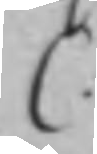C.
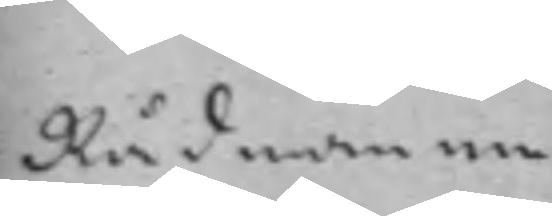Rådmännen
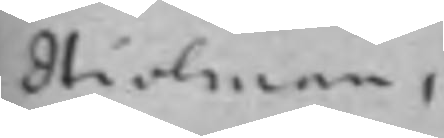Hiolman,
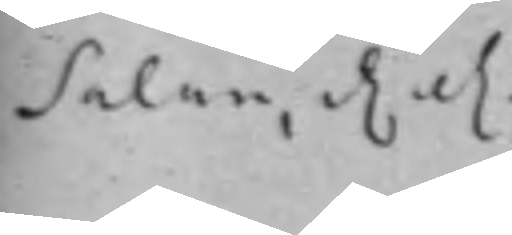Salan, etc. etc.
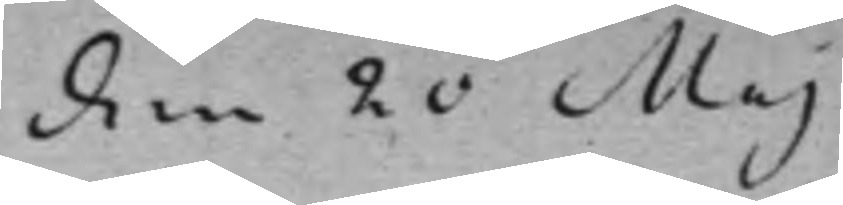den 20 Maj
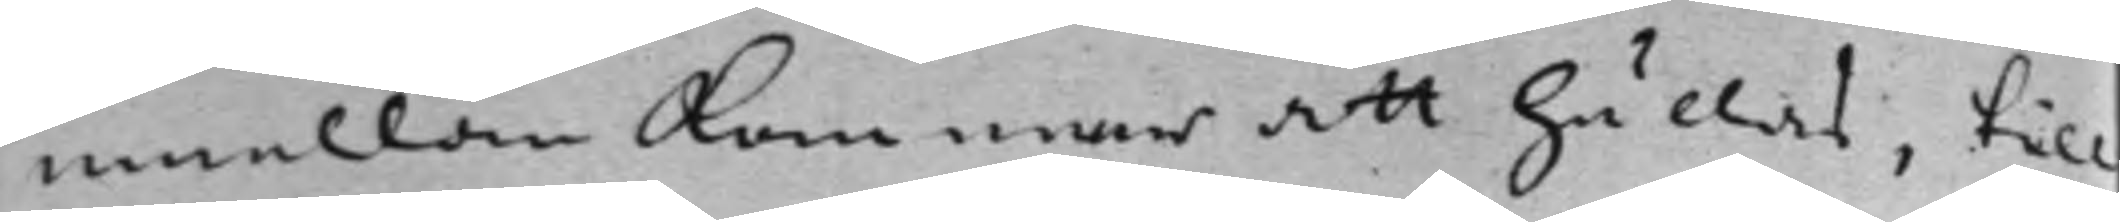emellan kommer att hållas, till
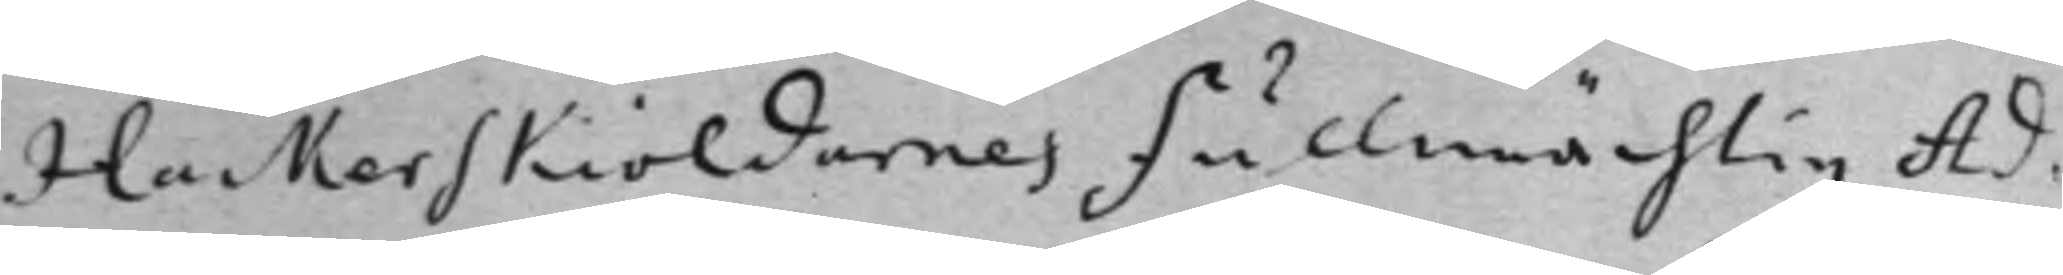Hackerskiöldarnes Fullmächtig Ad¬
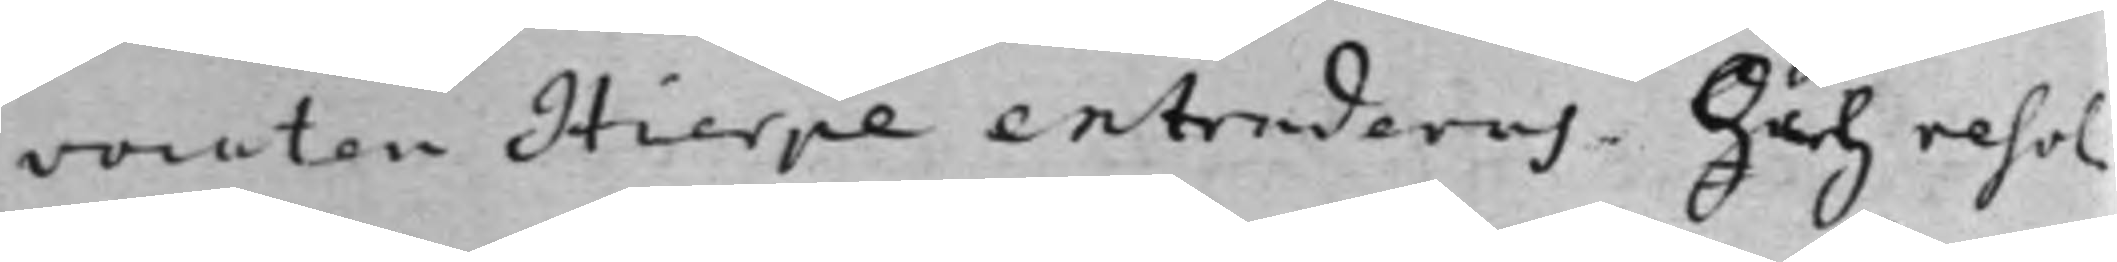vocaten Hierpe extraderas. Och resol¬ 
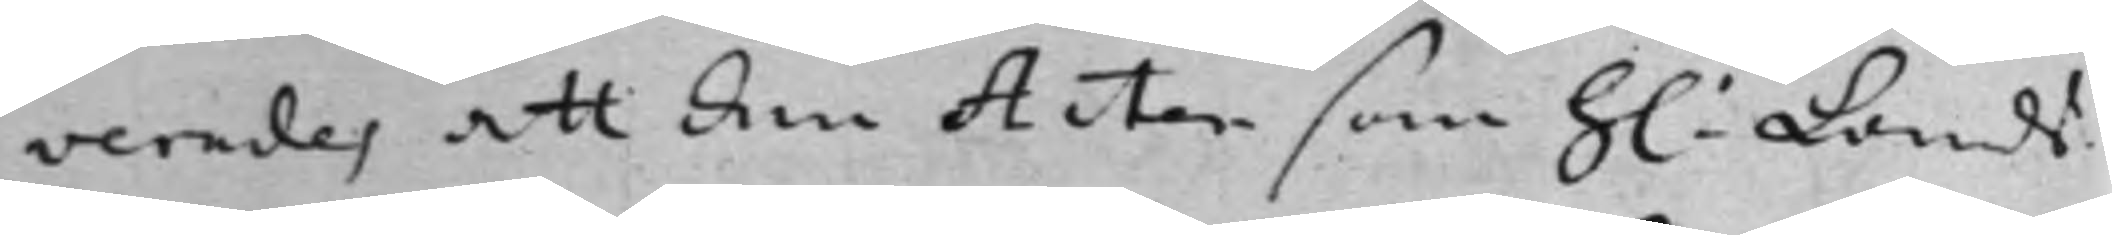verades att den Acten som h: Lands¬
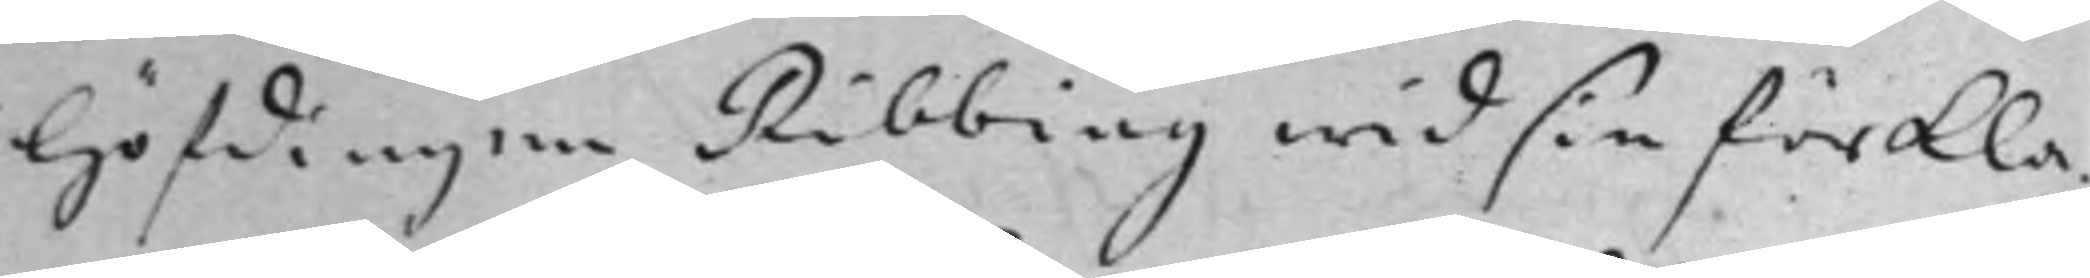Höfdingen Ribbing wid sin förkla¬
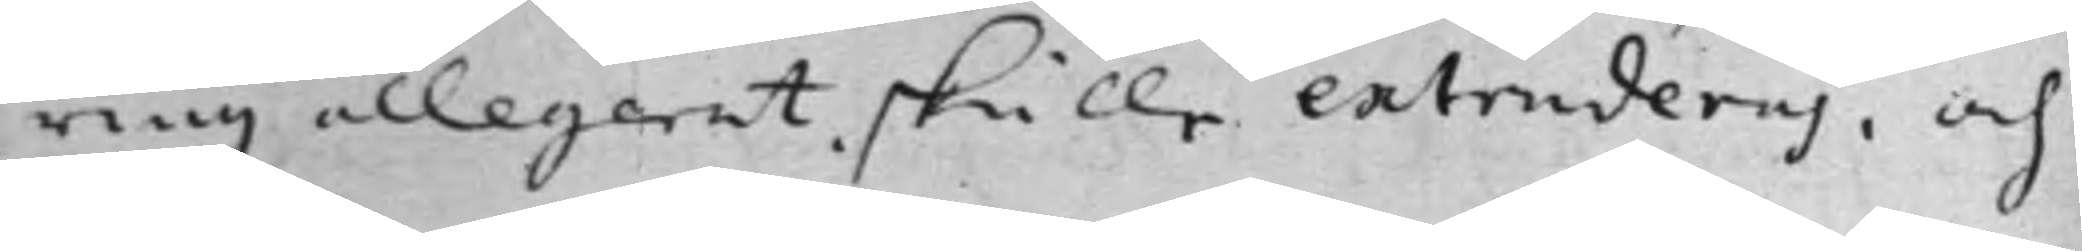ring allegerat skulle extraderas, och
